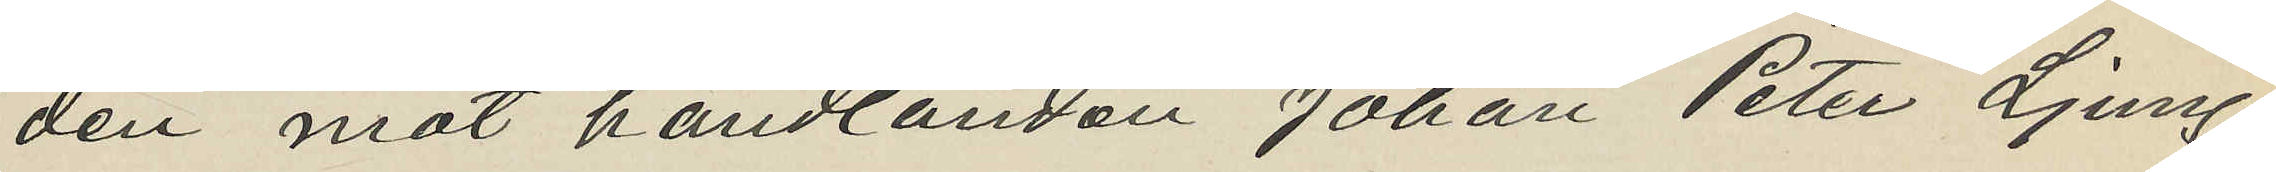den mot handlanden Johan Peter Ljung¬
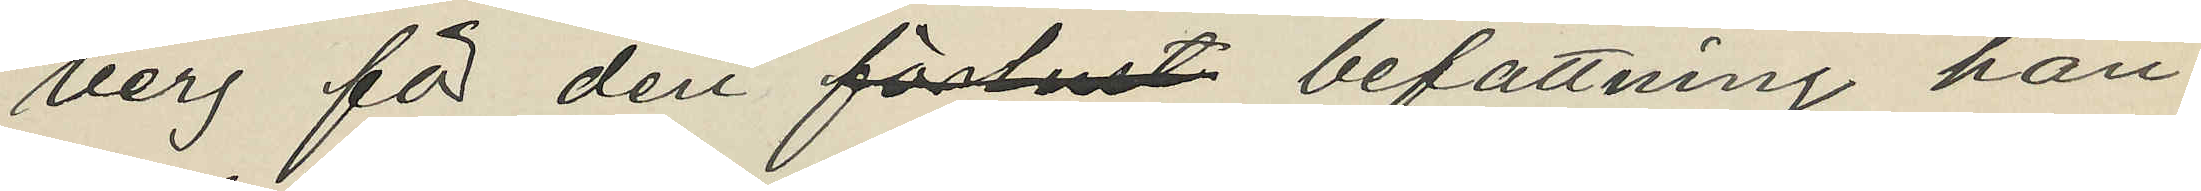berg för den förlust befattning han
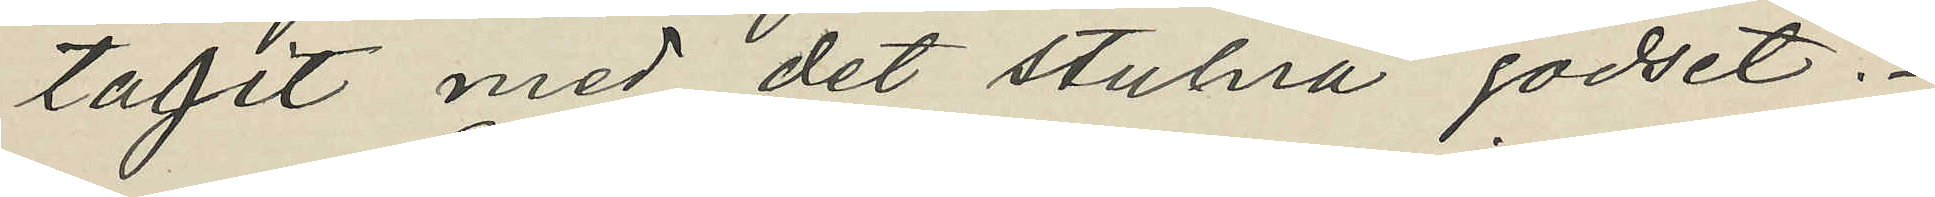tagit med det stulna godset.
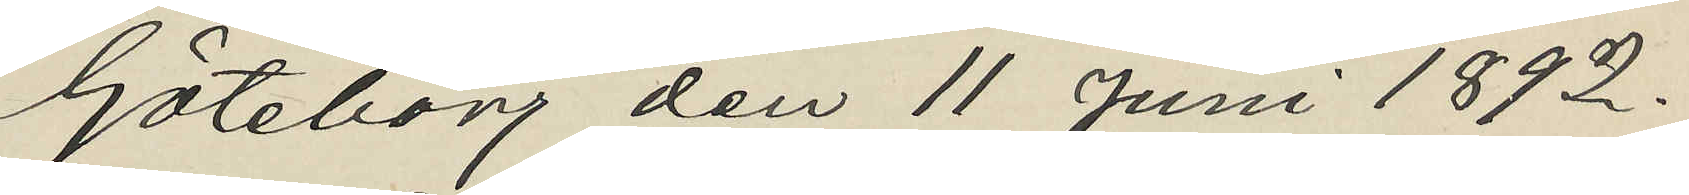Göteborg den 11 Juni 1892.
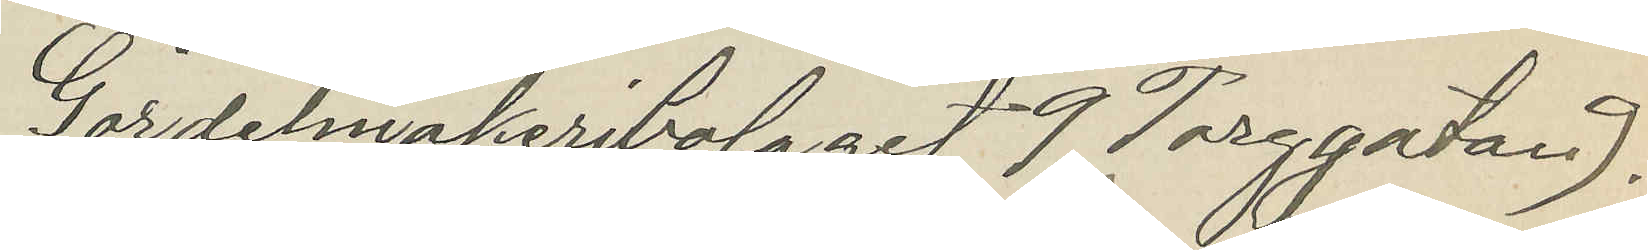Gördelmakeribolaget 9 Torggatan 9.
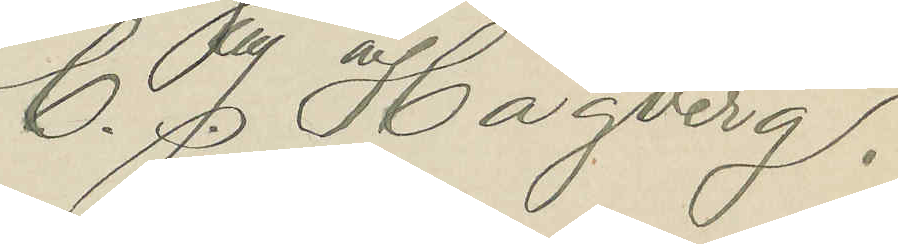C. J. Hagberg.
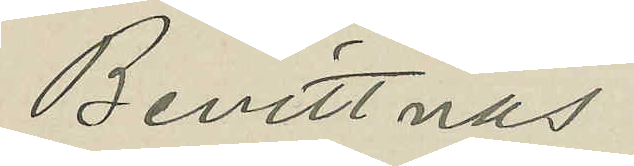Bevittnas
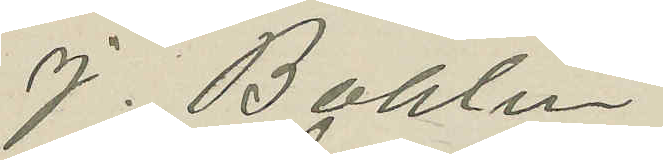J. Bohlin
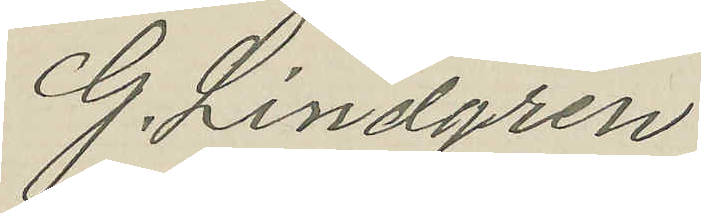G. Lindgren
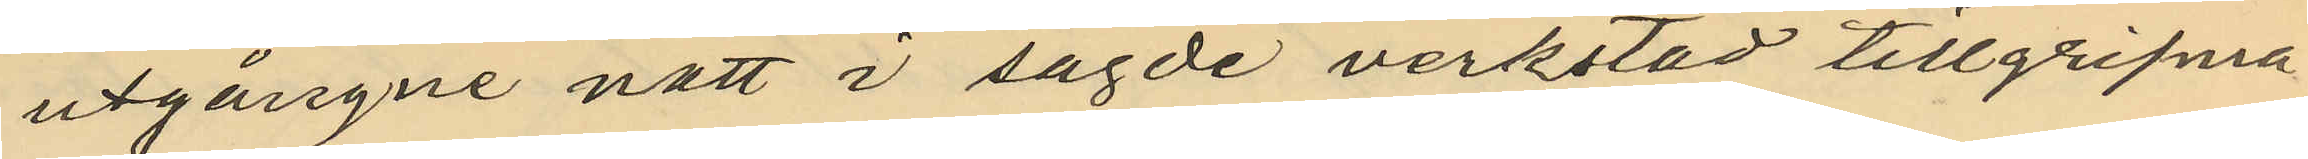utgångne natt i sagde verkstad tillgripna
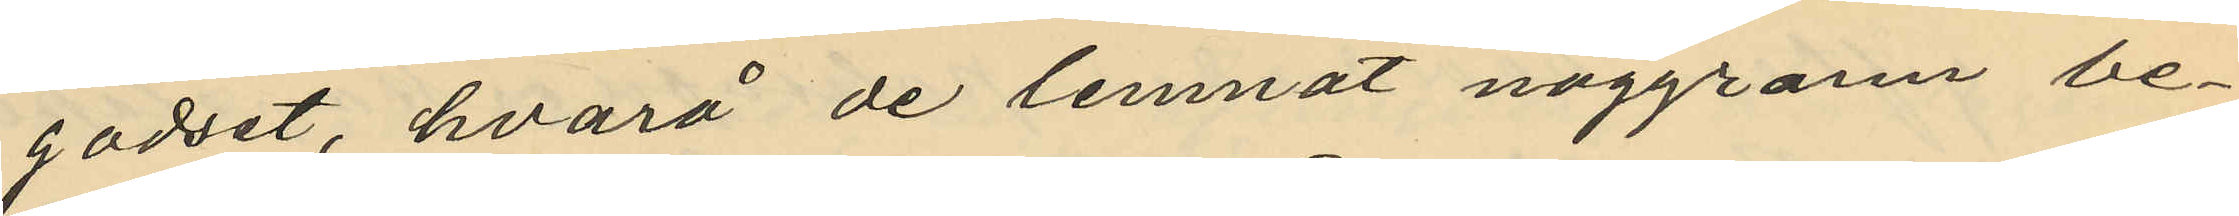godset, hvarå de lemnat noggrann be¬
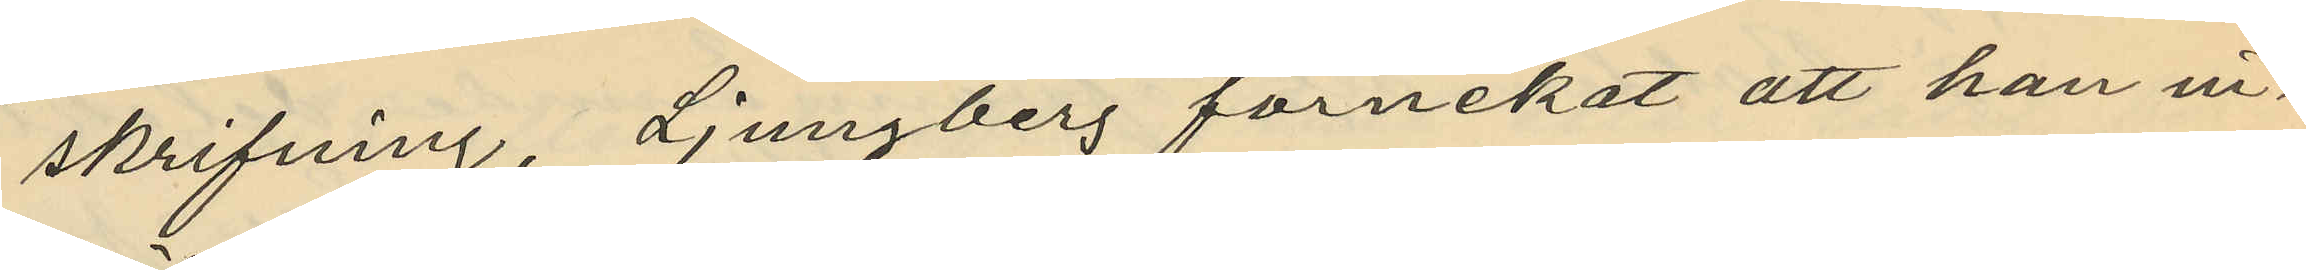skrifning, Ljungberg förnekat att han in¬
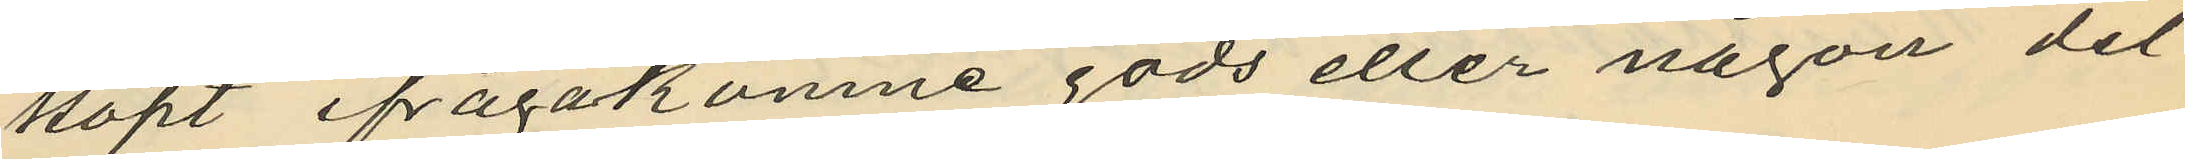köpt ifrågakomne gods eller någon del
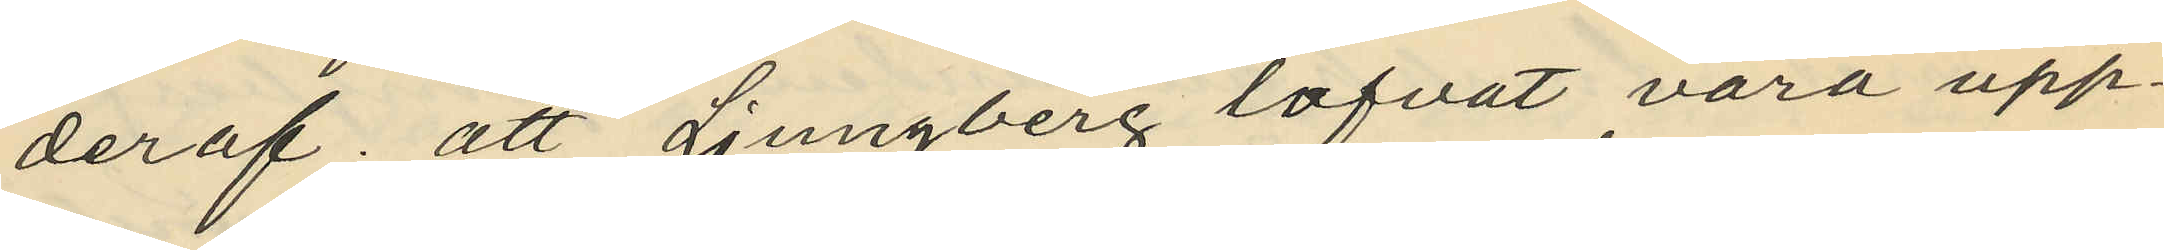deraf; att Ljungberg lofvat vara upp¬
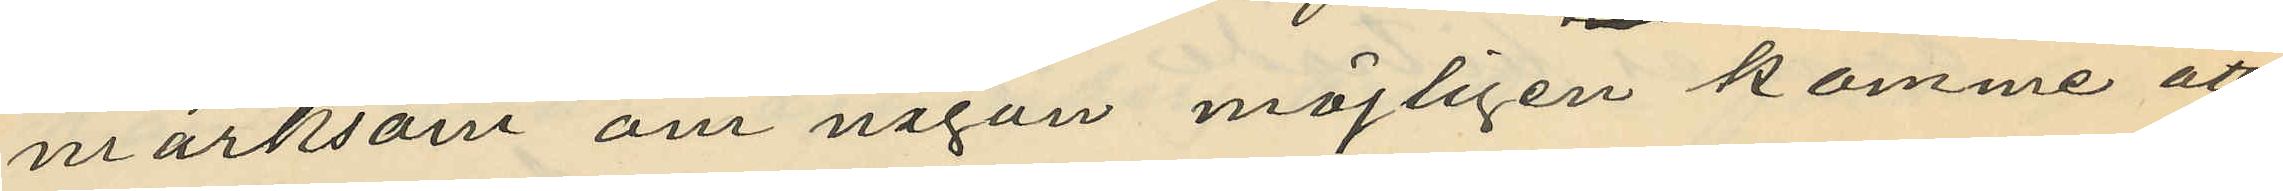märksam om någon möjligen komme att
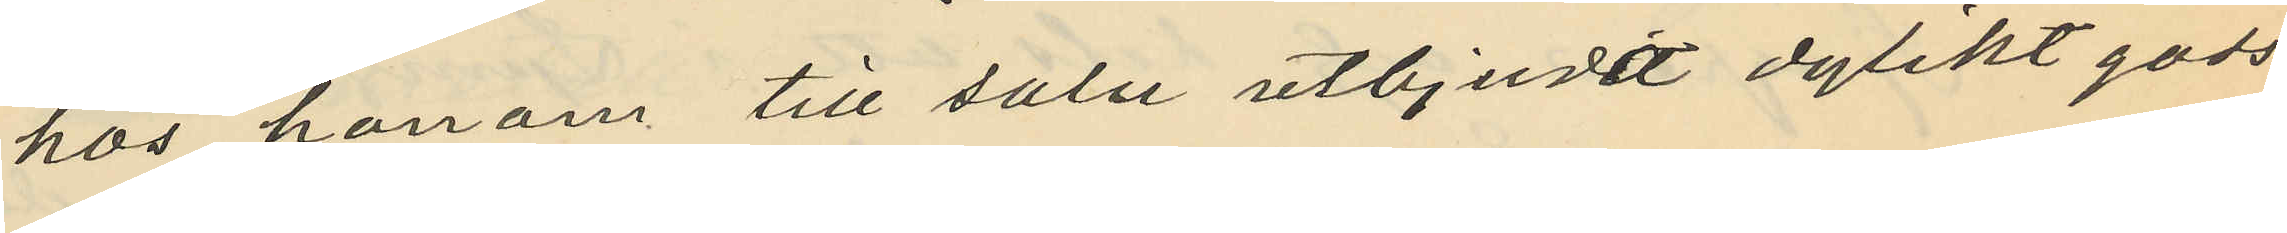hos honom till salu utbjuda dylikt gods
